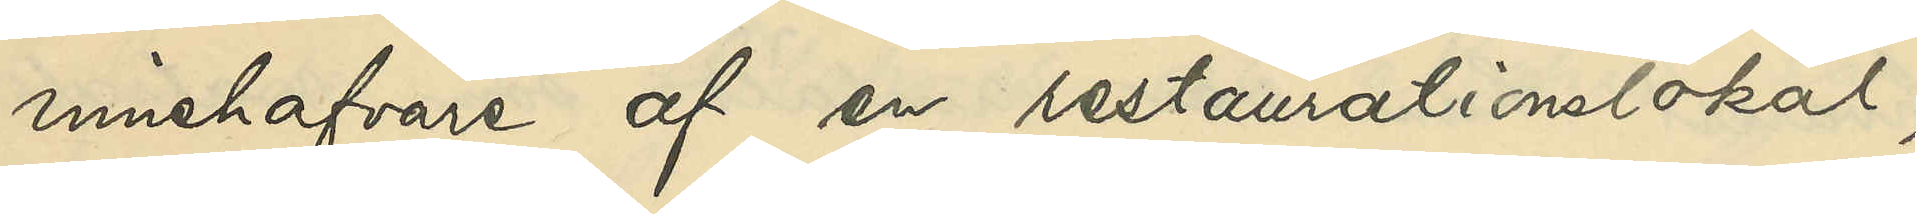innehafvare af en restaurationslokal,
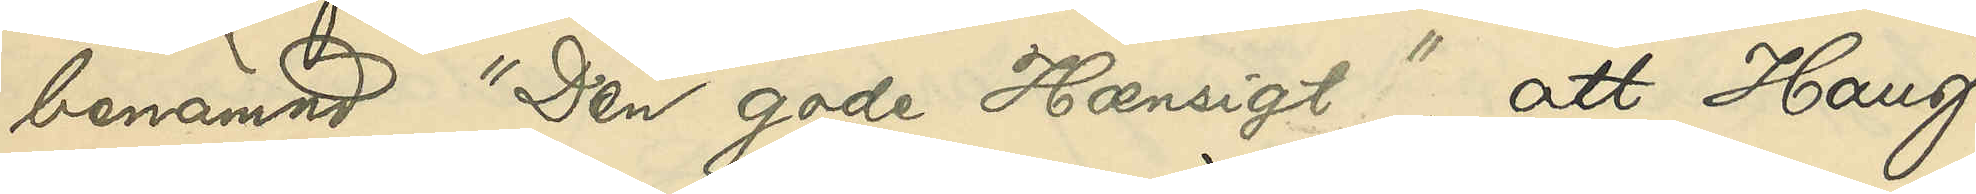benämnd "Den gode Hænsigt "; att Haug
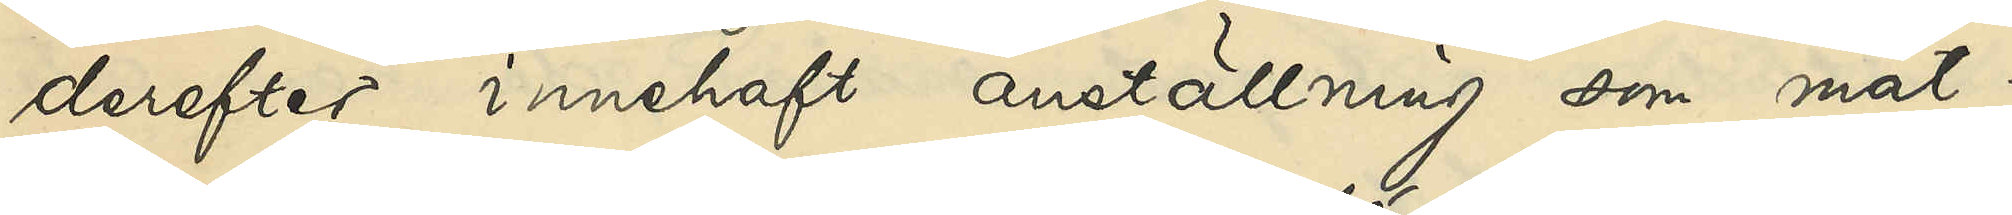derefter innehaft anställning som mat¬
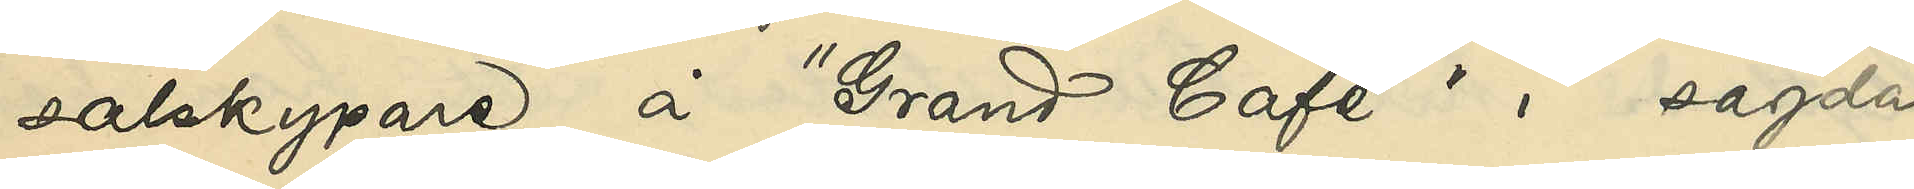salskypare å "Grand Café" i sagda
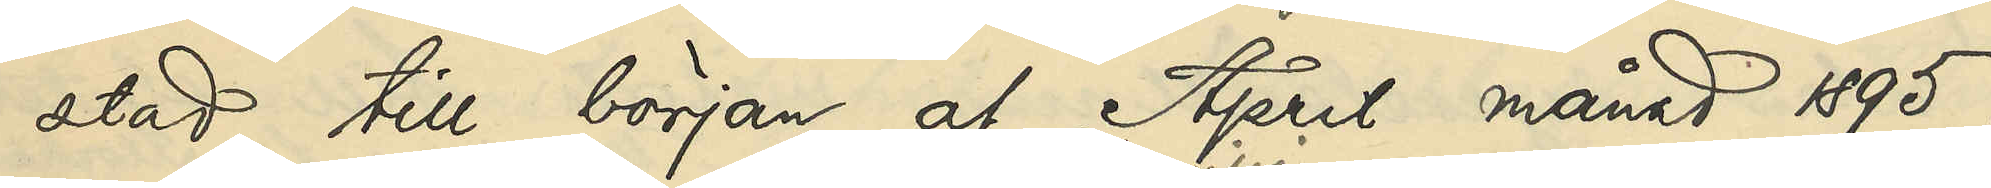stad till början af April månad 1895;
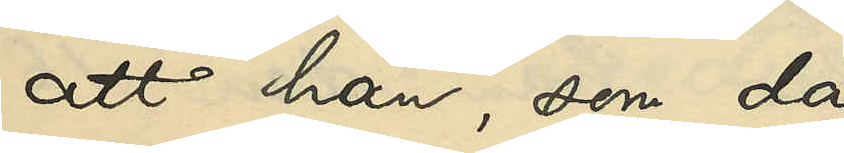att han, som då 
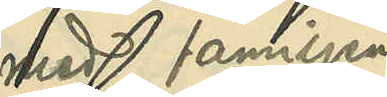med familjen
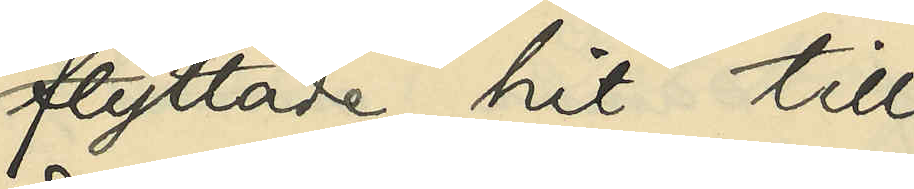flyttade hit till
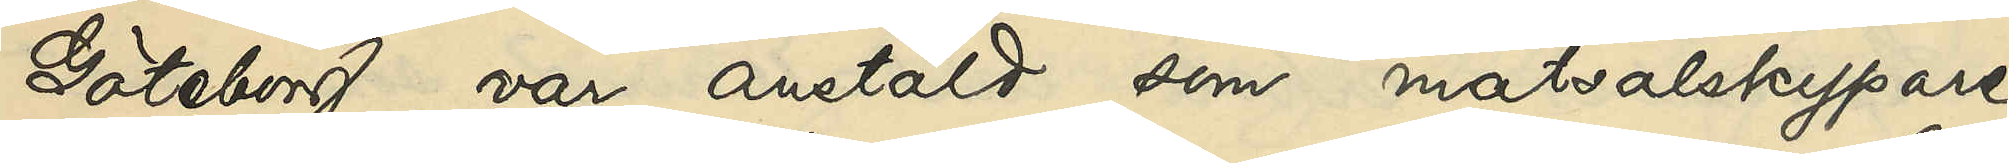Göteborg, var anstäld som matsalskypare
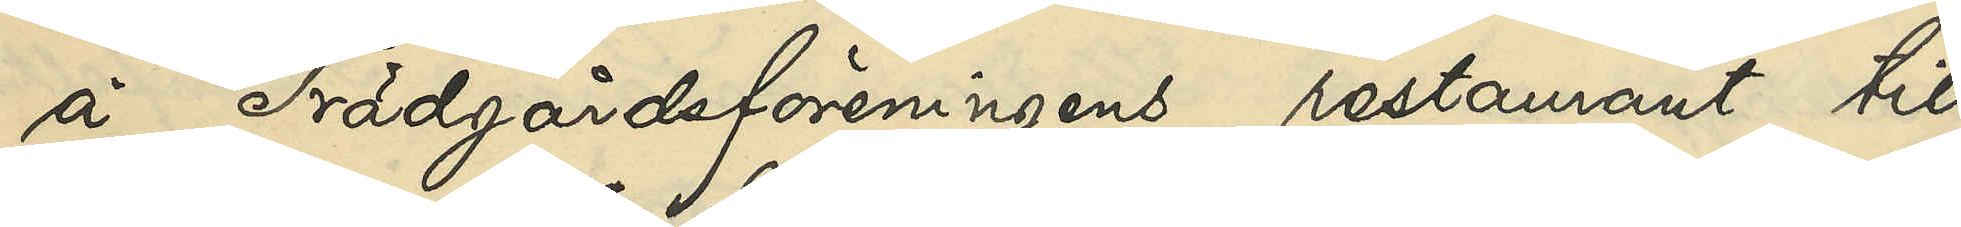å Trädgårdsföreningena restaurant till
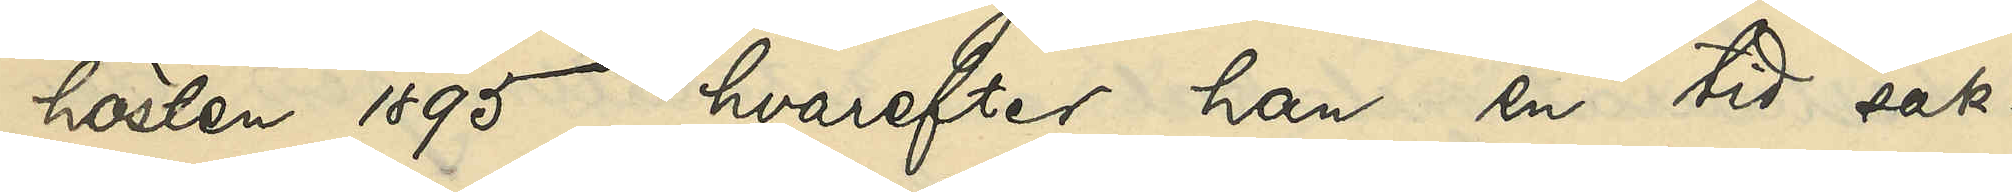hösten 1895, hvarefter han en tid sak¬
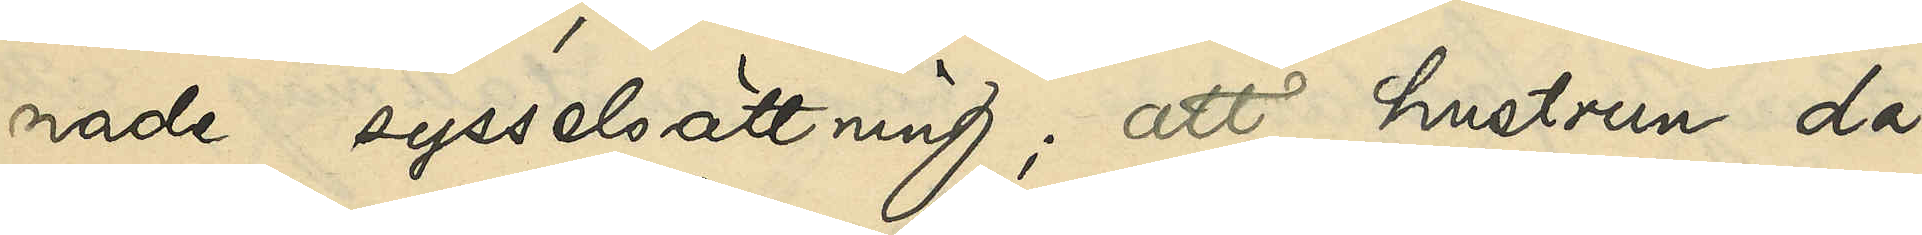nade sysselsättning; att hustrun då,
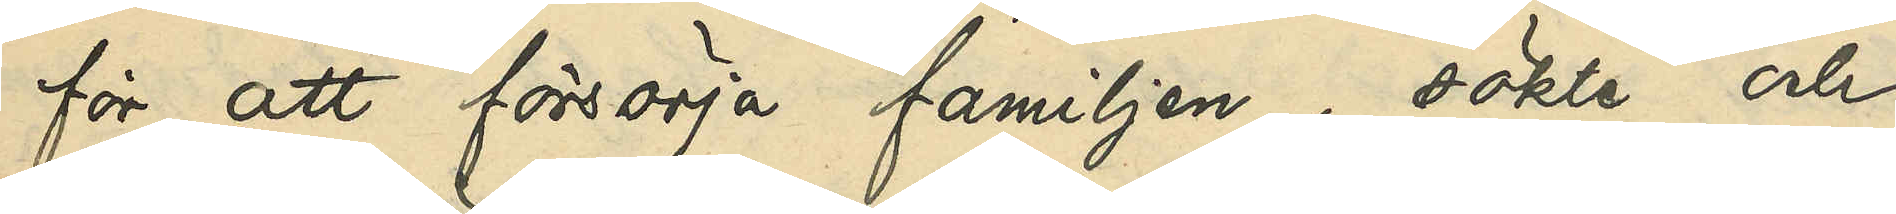för att försörja familjen, sökte och
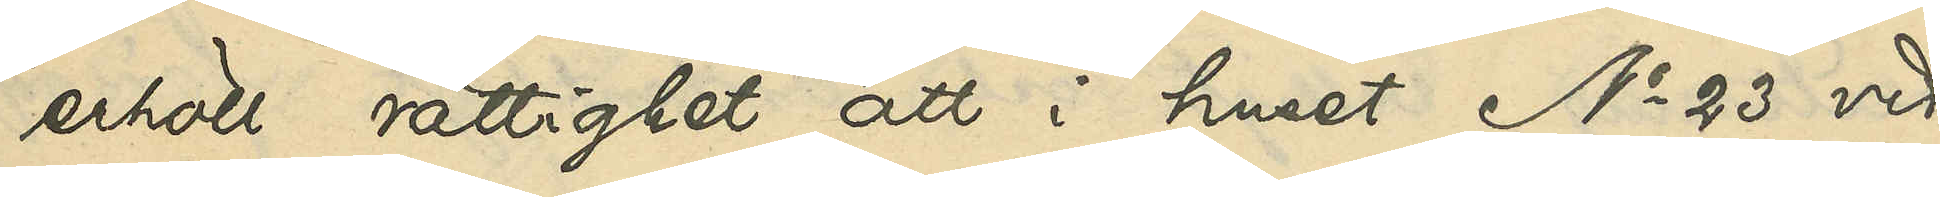erhöll rättighet att i huset No 23 vid
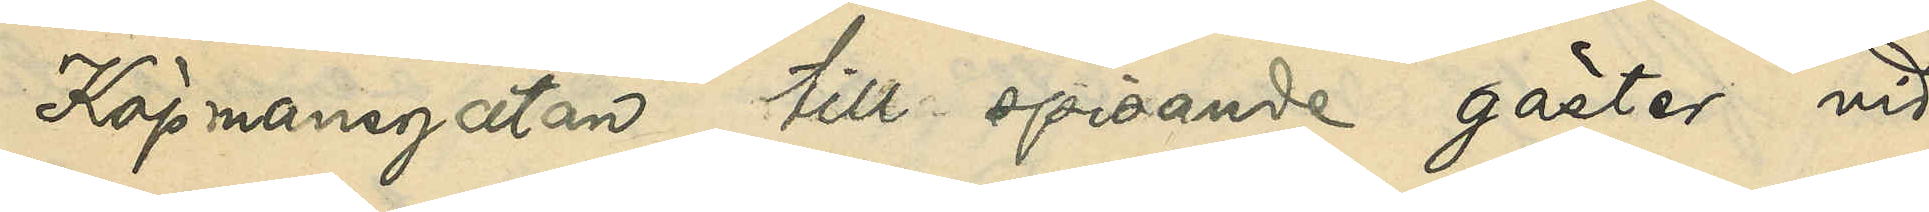Köpmansgatan till spisande gäster vid
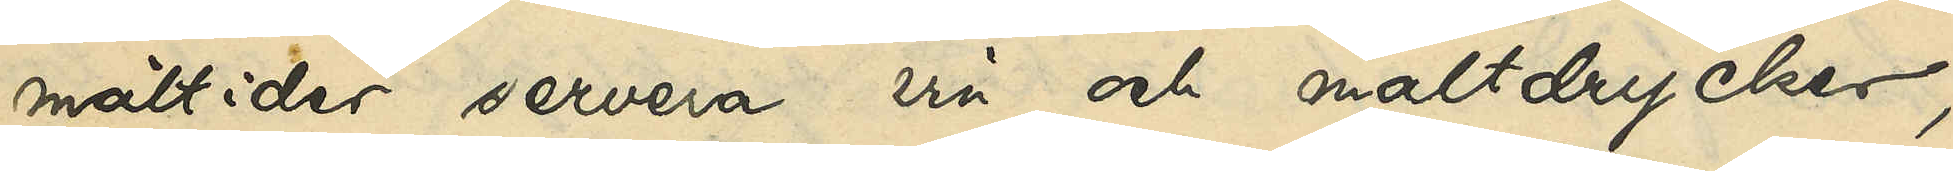måltider servera vin och maltdrycker,
